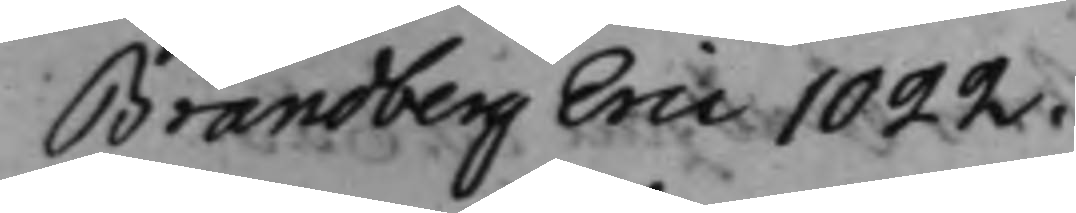Brandberg Eric 1022.
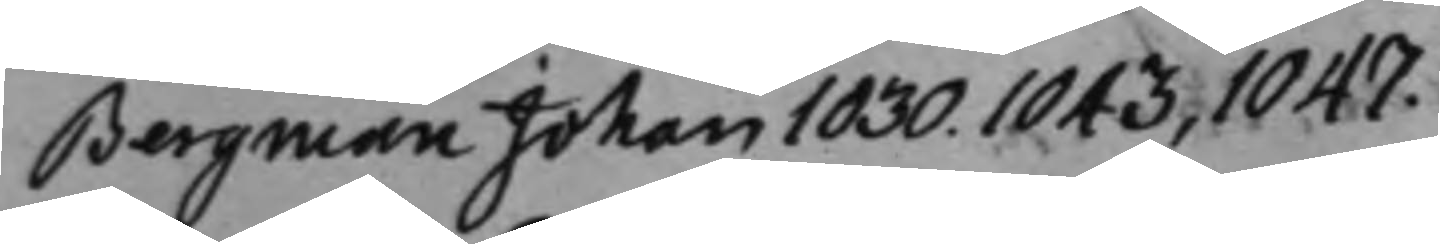Bergman Johan 1030. 1043, 1047.
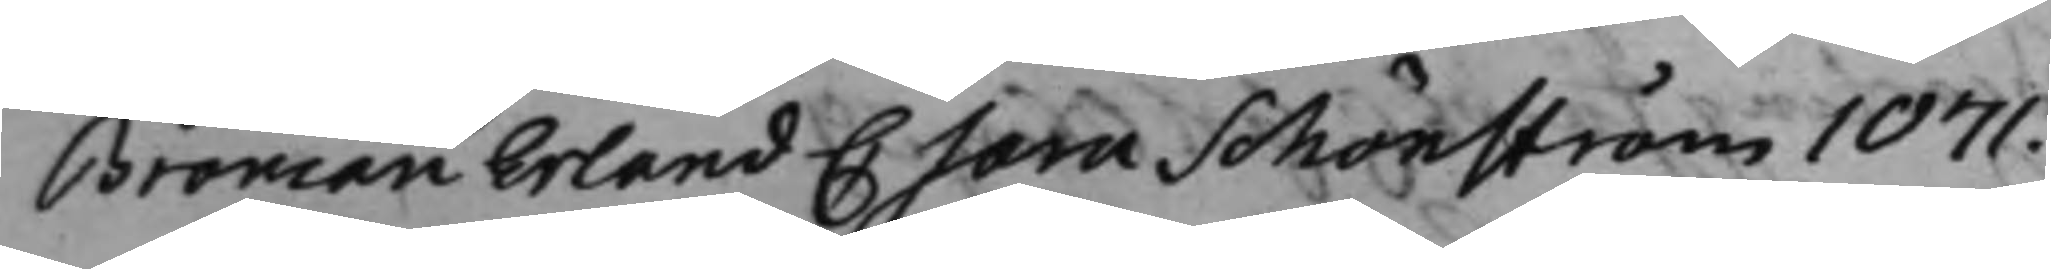Broman Erland C Sara Schönström 1071.
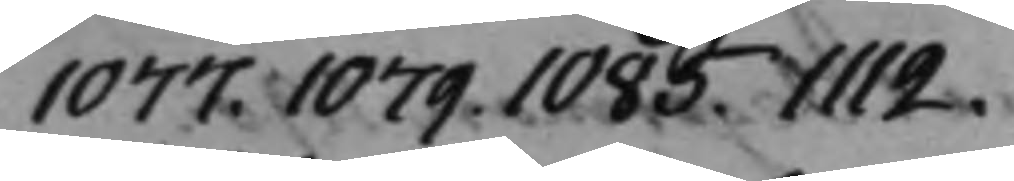1077. 1079. 1085. 1112.
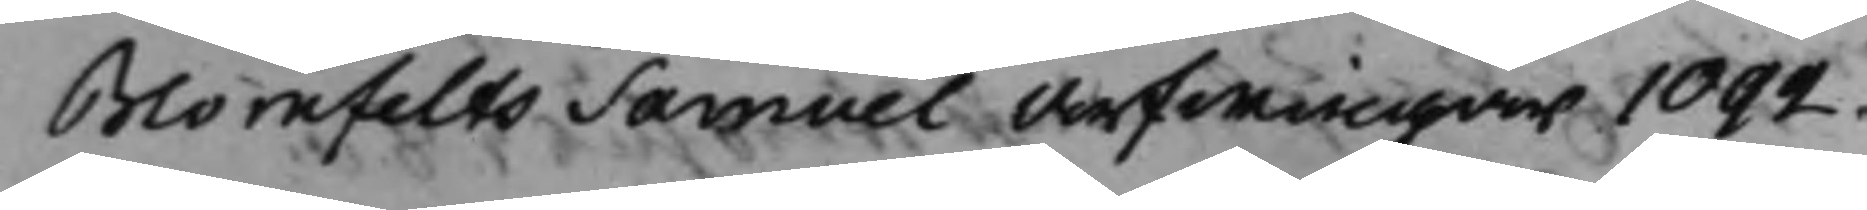Blomfelts Samuel Arfwingar 1092.
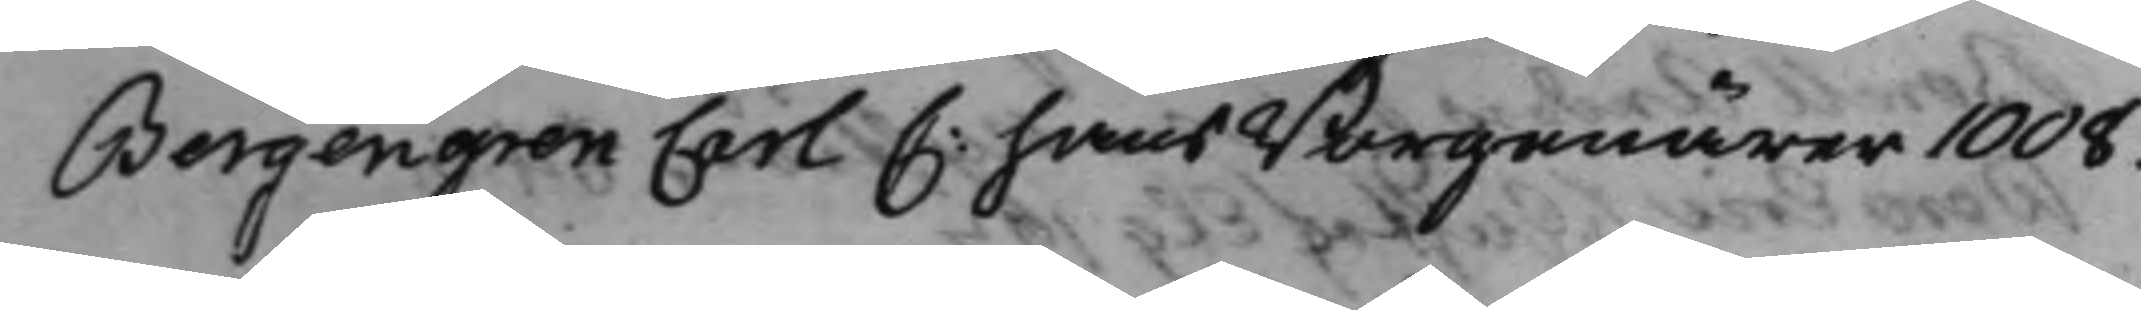Bergengren Carl C: hans Borgenärer 1008.
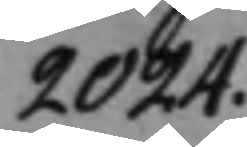2024.
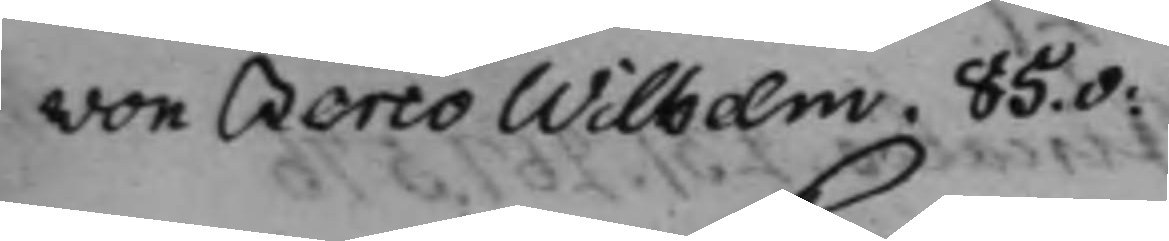von Berco Wilhelm. 85.v:
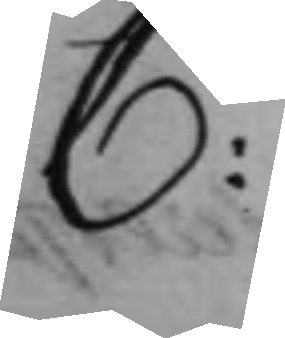C:
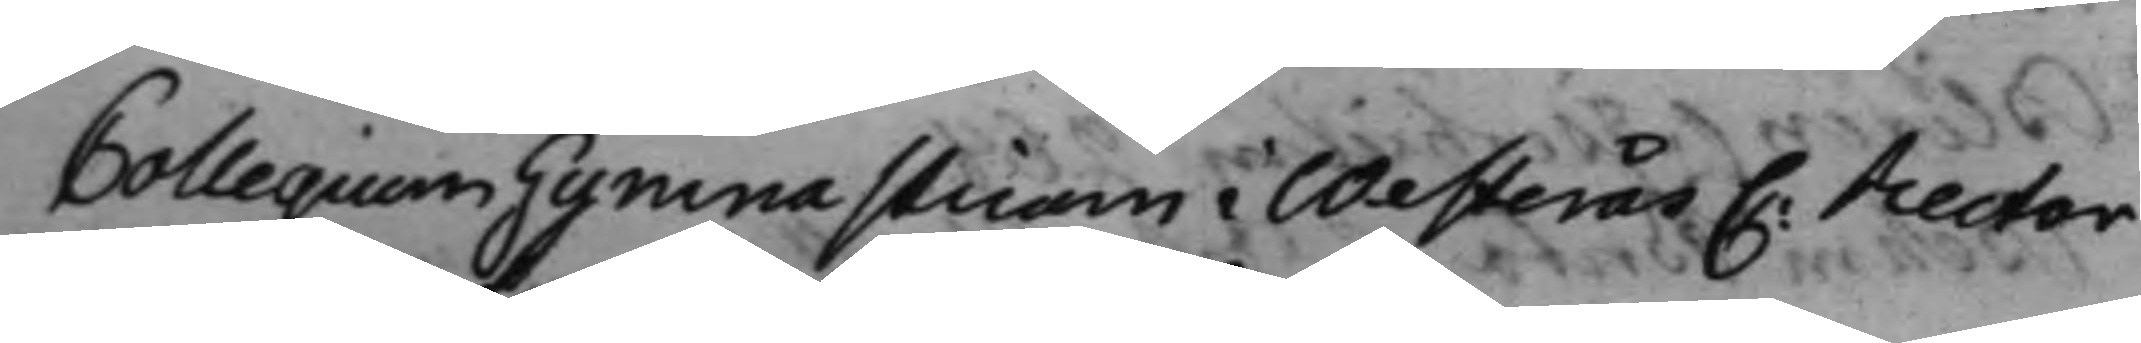Collegium Gymnasticam i Westerås C: Rector
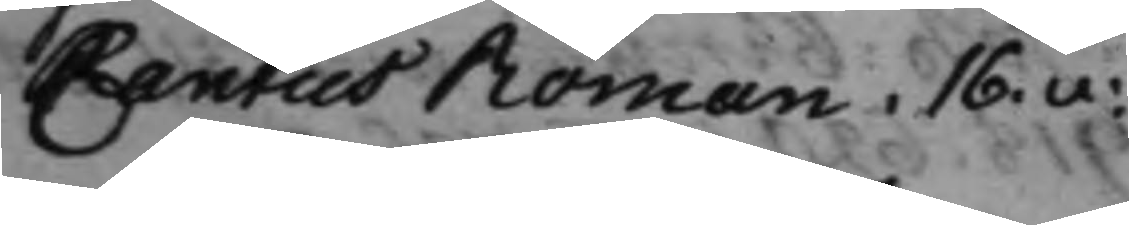Cantus Roman: 16.v:
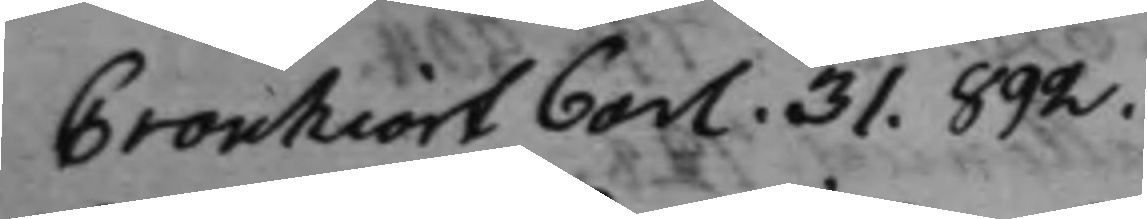Cronhiort Carl. 31. 892.
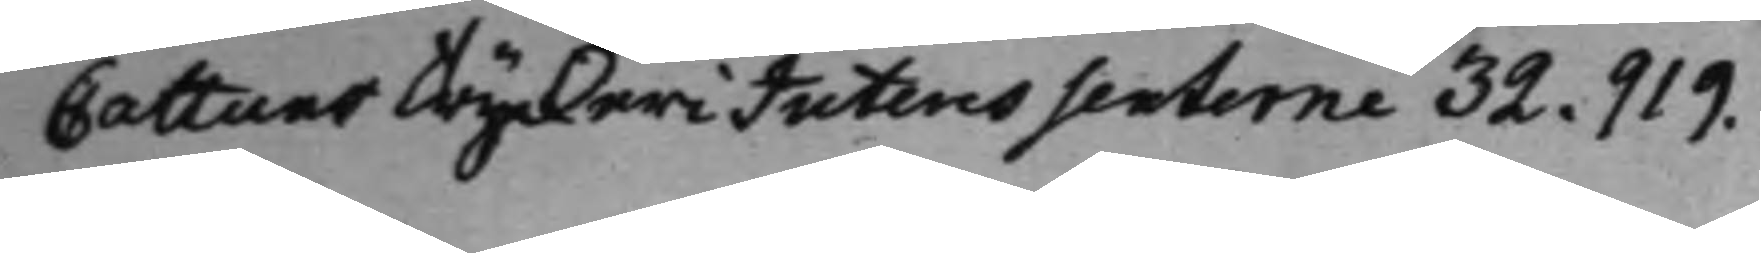Cattuns Tryckeri Interessenterne 32. 919.
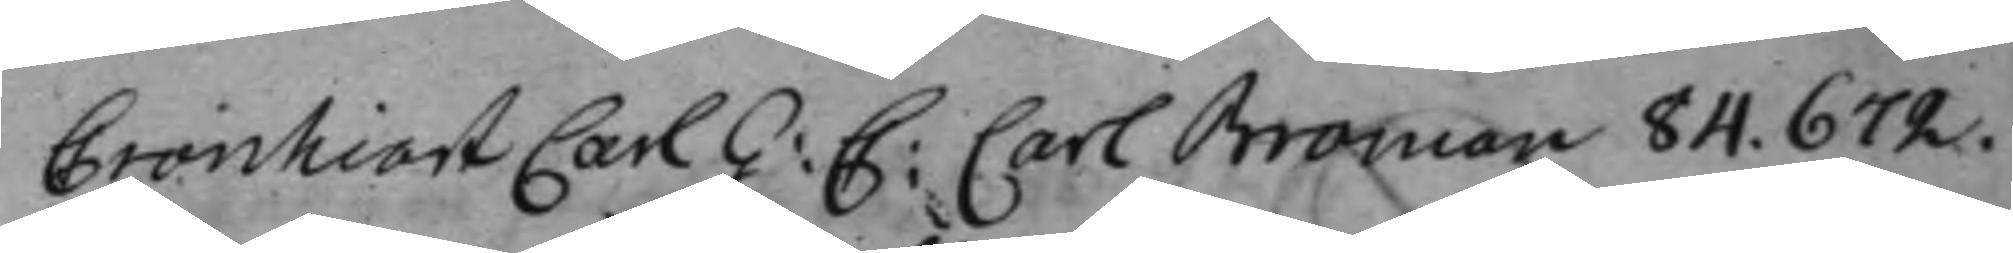Cronhiort Carl G: C: Carl Broman 84. 672.
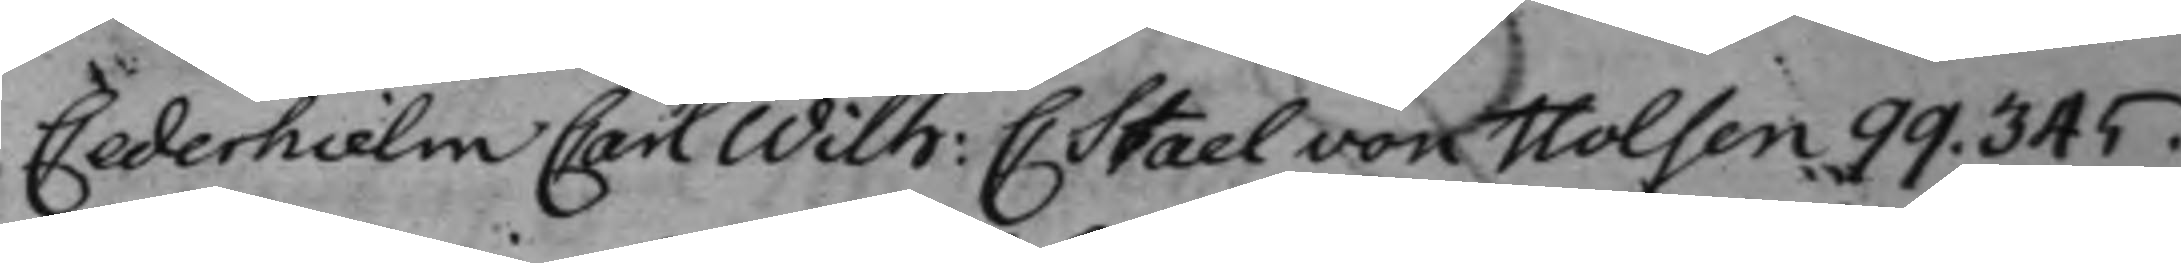Cederhielm Carl Wilh: C: Stael von Holsen 99. 345.
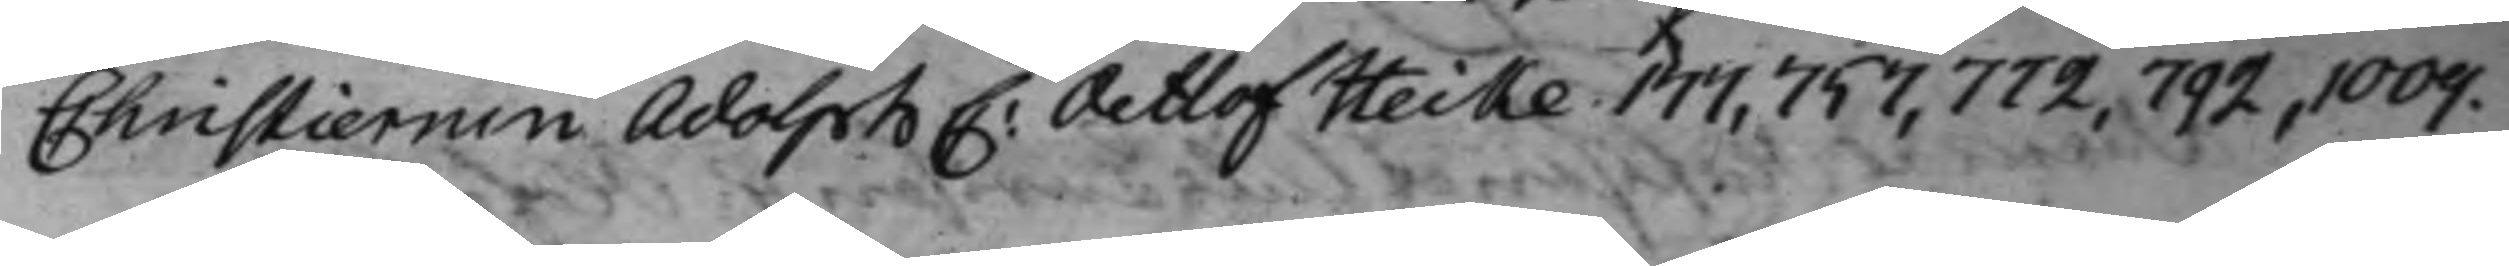Christiernin Adolph C: Detlof Heike 177, 757, 772, 792, 1009.
